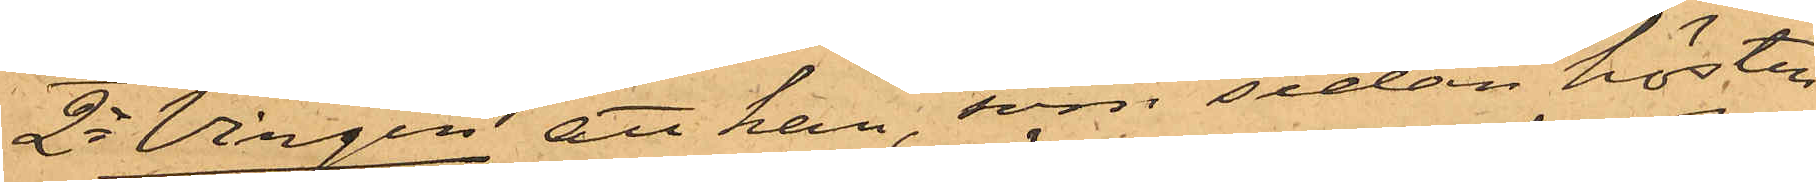2o Virgin, att han, som sedan hösten
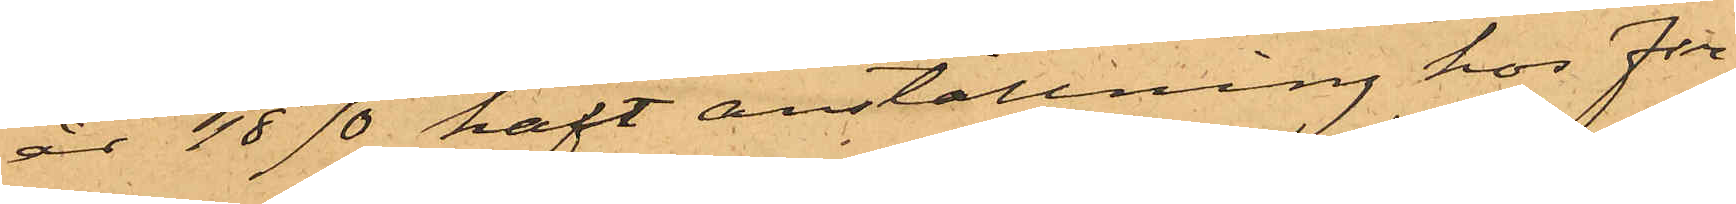år 1870 haft anställning hos Fir¬
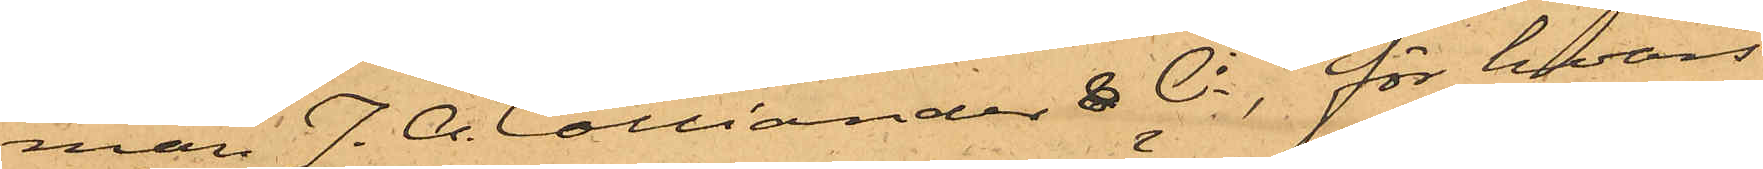man J. A. Colliander & Ci, för hvars
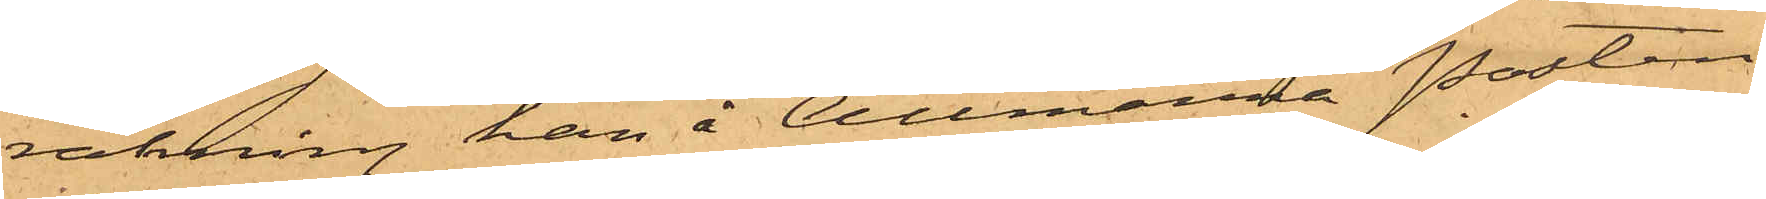räkning han å Allmänna Posten
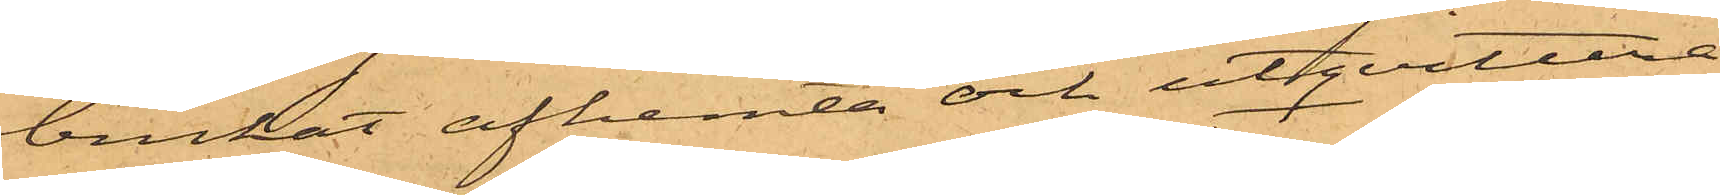brukat afhemta och utqvittera
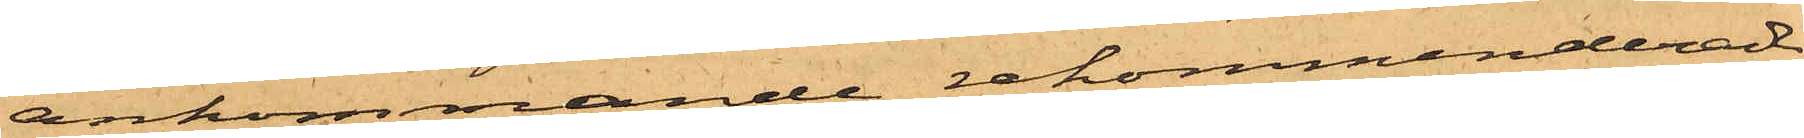ankommande rekommenderade
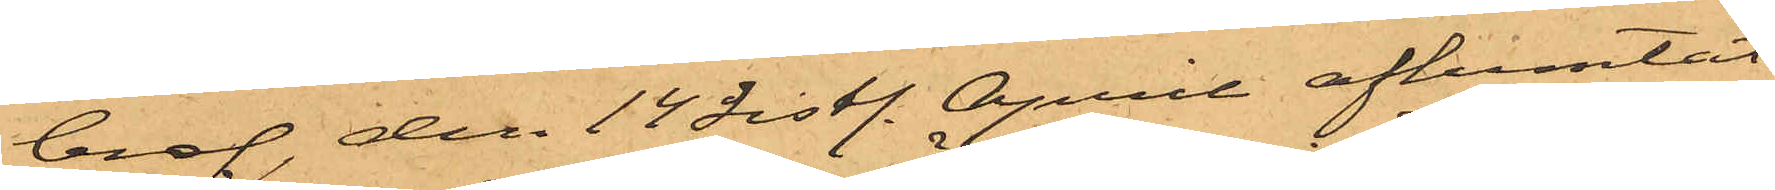bref, den 14 sistl. April afhemtat
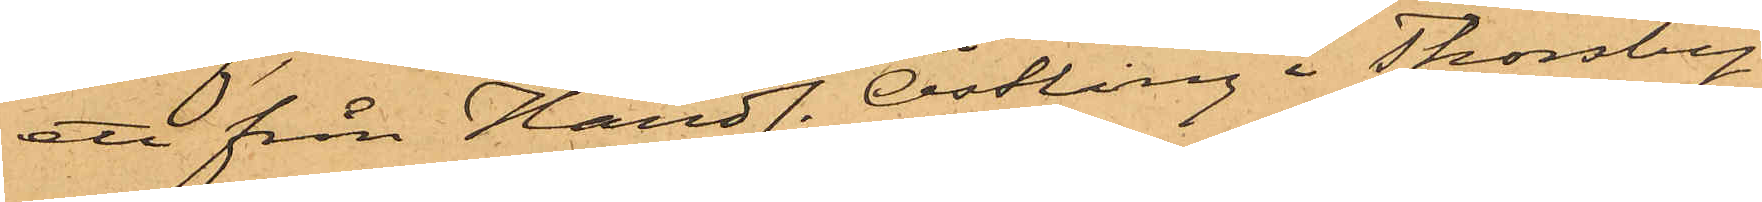ett från Handl. Östling i Thorsby
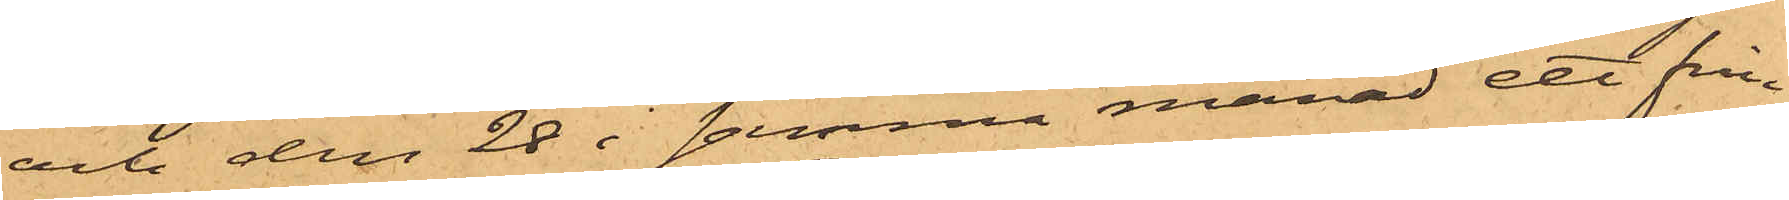och den 28 i samma månad ett från
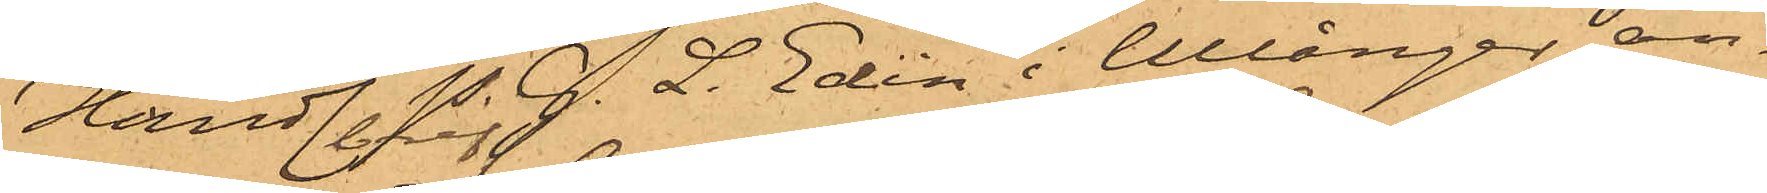Handl. P. G. L. Edin i Ullånger an¬
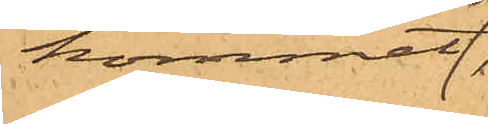kommet
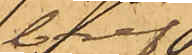bref
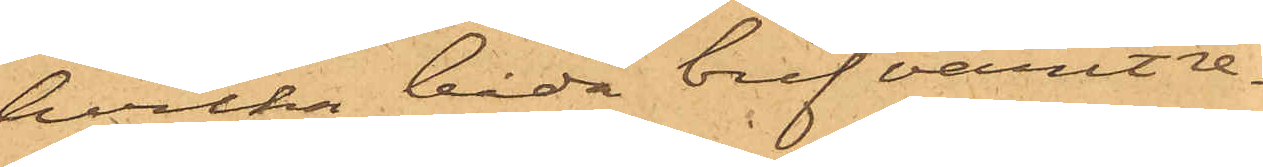hvilka båda bref varit re¬
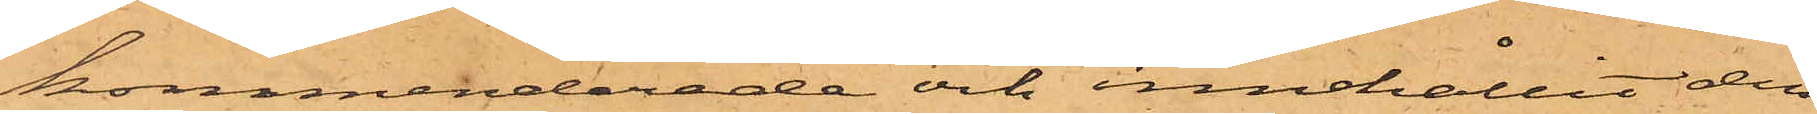kommenderade och innehållit den
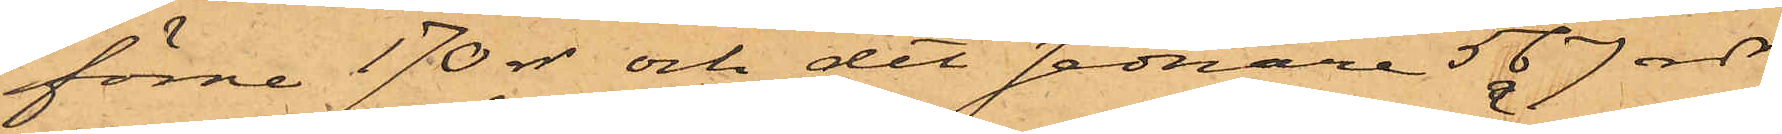förre 170 rdr och det sednare 567 rdr
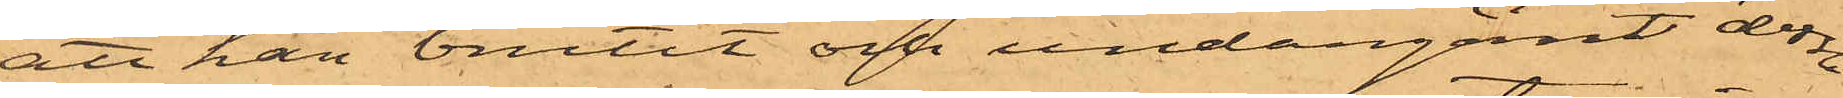att han brutit och undangömt dessa
